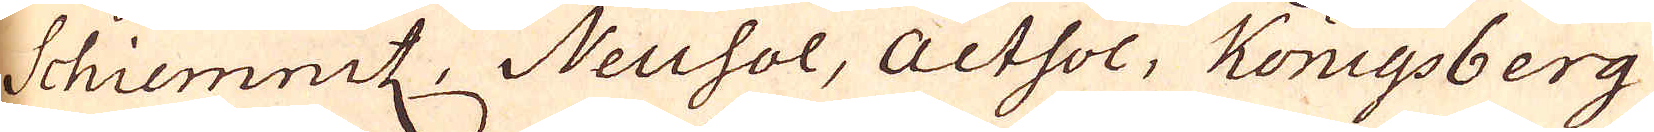Schiemnitz, Neuhol, Acthol, Königsberg
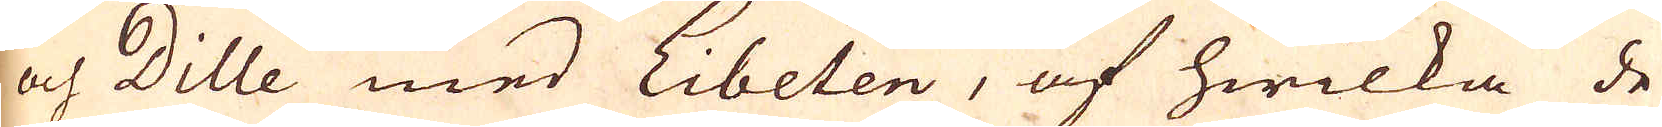och Dille med Libeten, af hwilka de
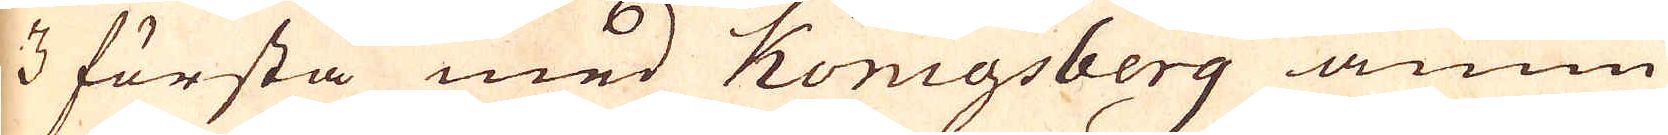3 första med Königsberg ännu
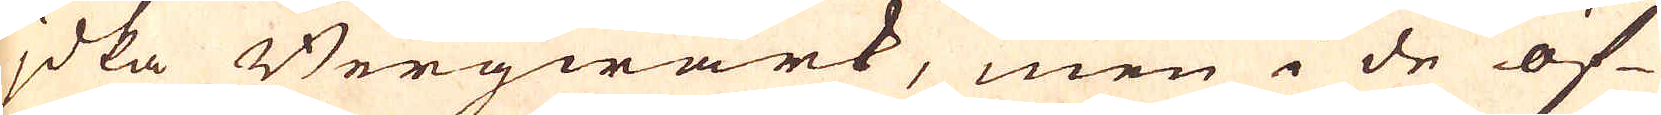jdka Bergwärk, men i de öf-
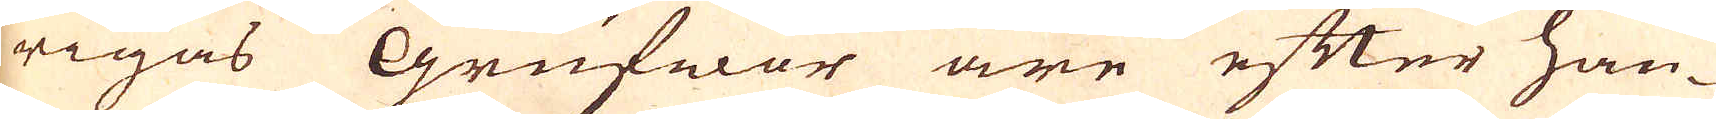rigas Grufwor äre efter han-
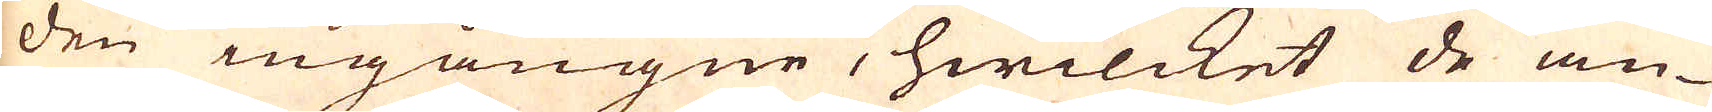den ingångne, hwilcket de an-
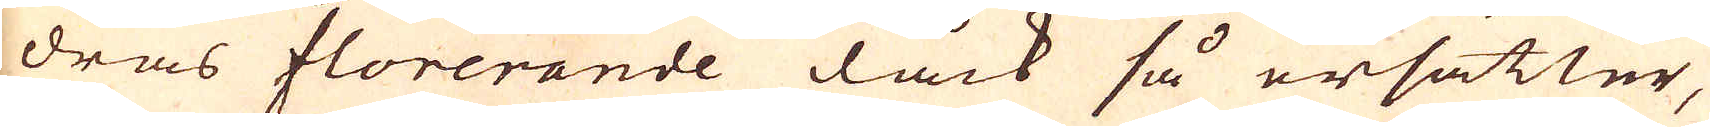dras florerande dock så ersätter,
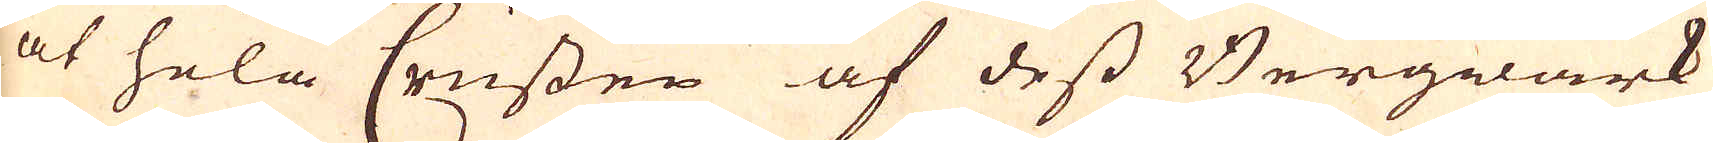at hela Crissen af dess Bergwärk
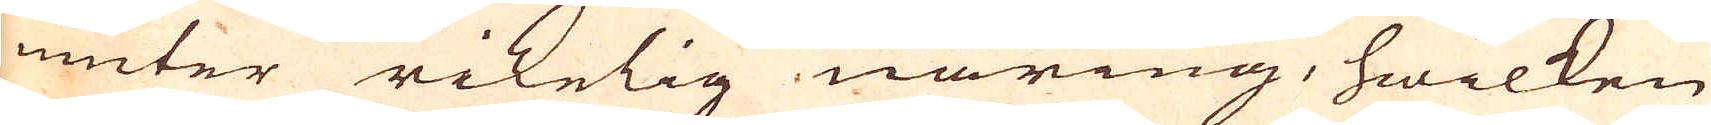niuter rikelig näring, hwilken
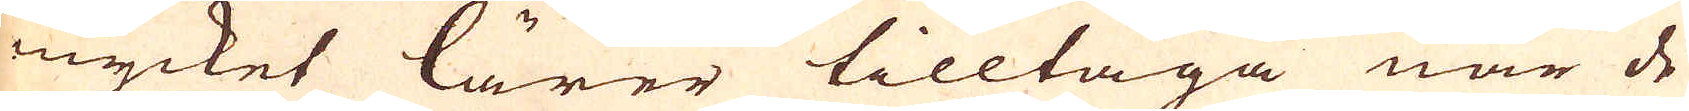mycket lärer tilltaga när de
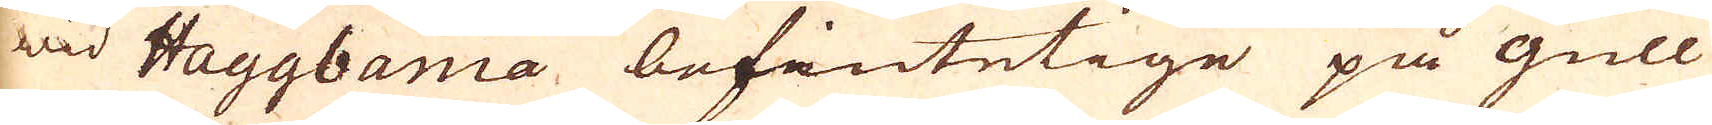wid Haggbania befintetige på gull
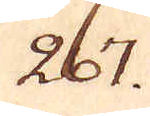267.
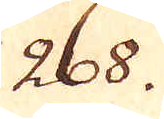268.
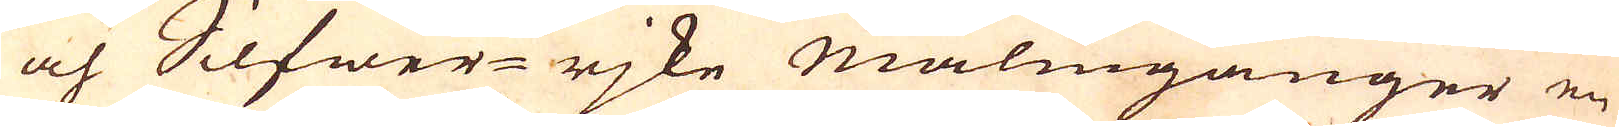och Silfwer-rjke malmgånger en
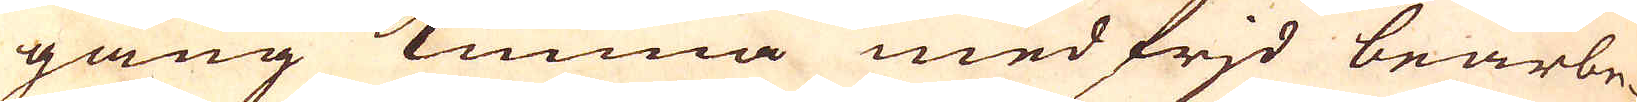gång kunna med frid bearbe-
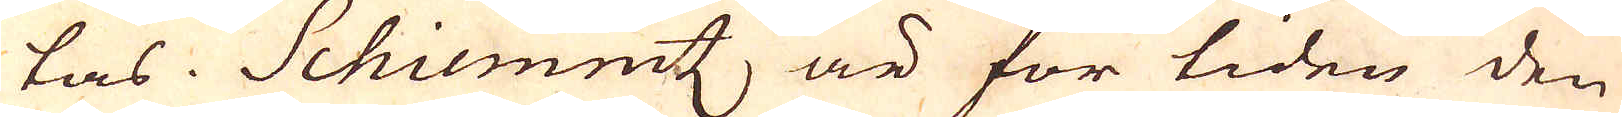tas. Schiemintz, är för tiden den
